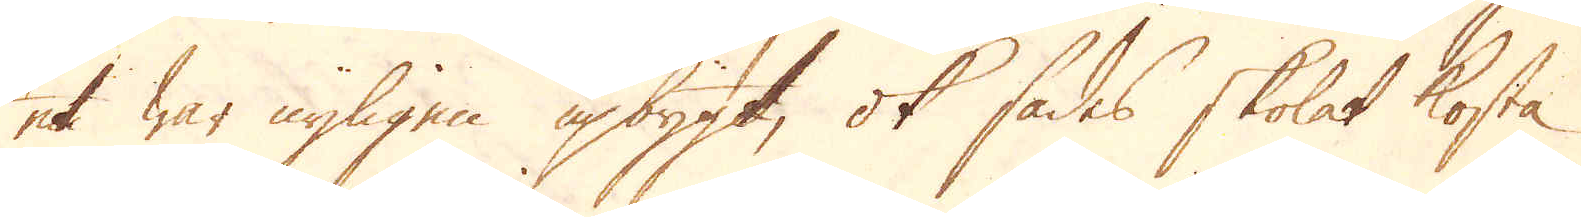et war nyligen upbygt, ok sades skolat kosta
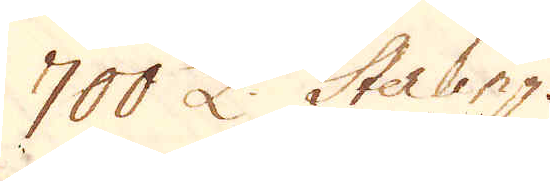700 £ Sterling.
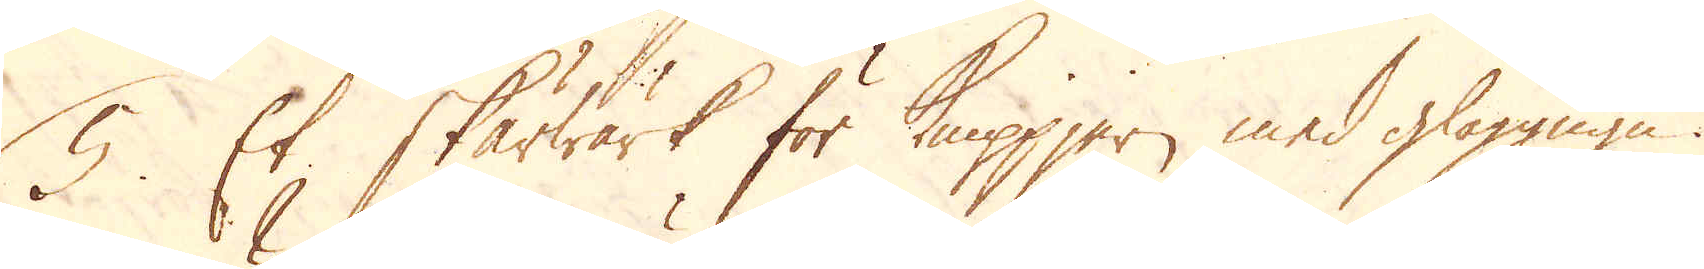5. Et Skärwärk för Knippjern med glöggugn.
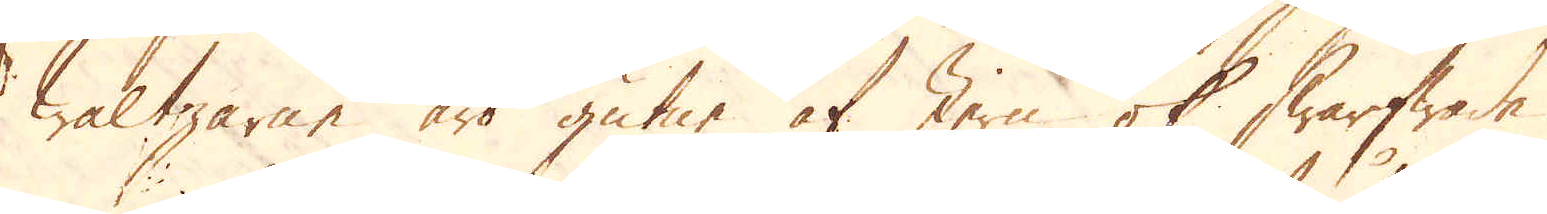Waltzarne äro gutne af Jern ok swarfwade,
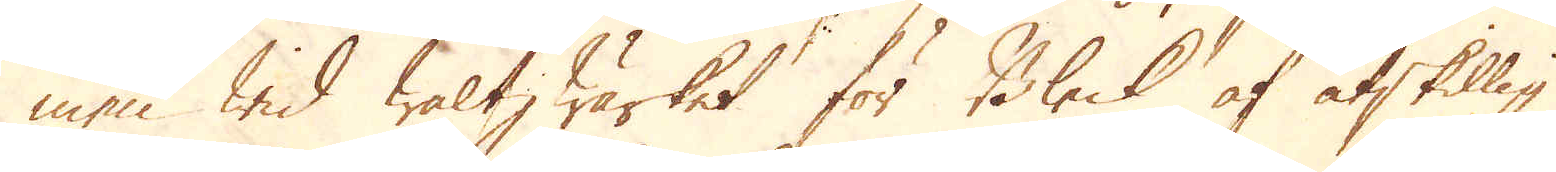men wid Waltz Wärket för Bleck af åtskillig
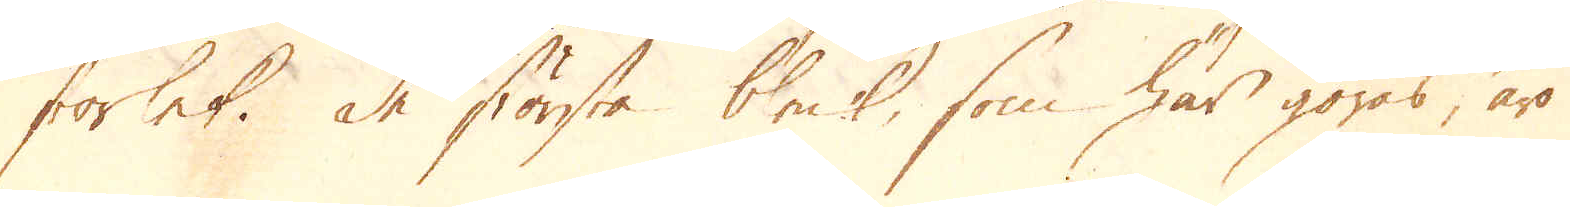storlek. De största bleck, som här göras, äro
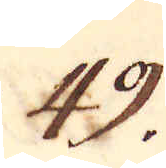49.
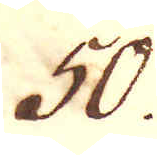50.
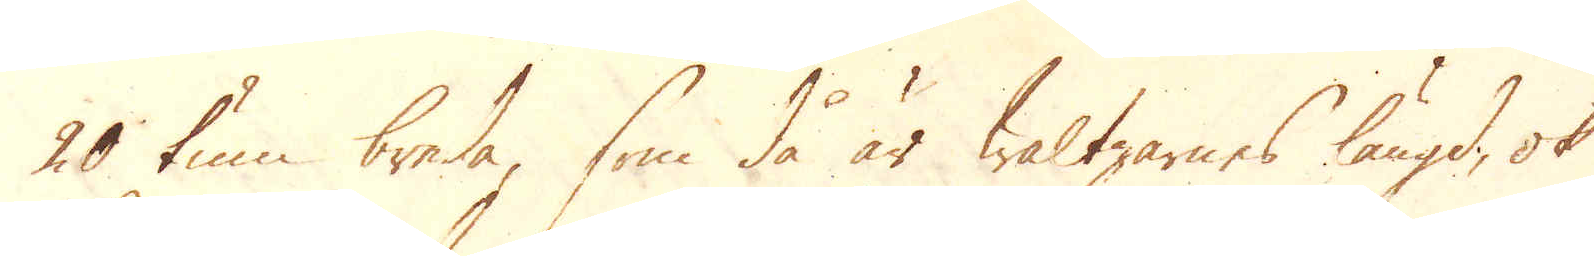20 tum breda, som då är Waltzarnes längd, ok
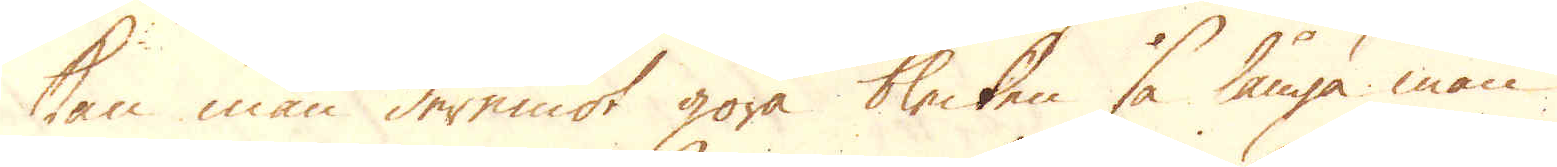kan man deremot göra blecken så långa man
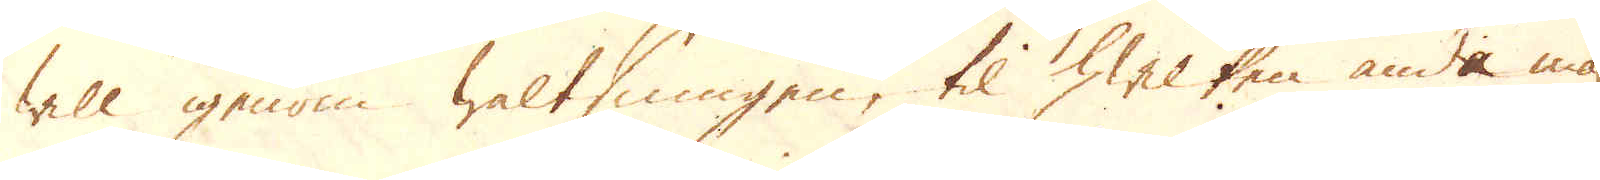will igenom Waltsningen, til hwilken ända man
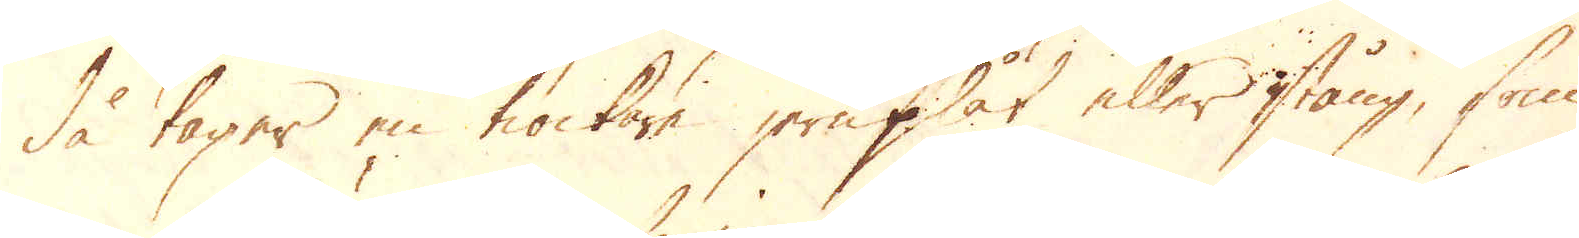då tager en tiockare jernplåt eller stång, som
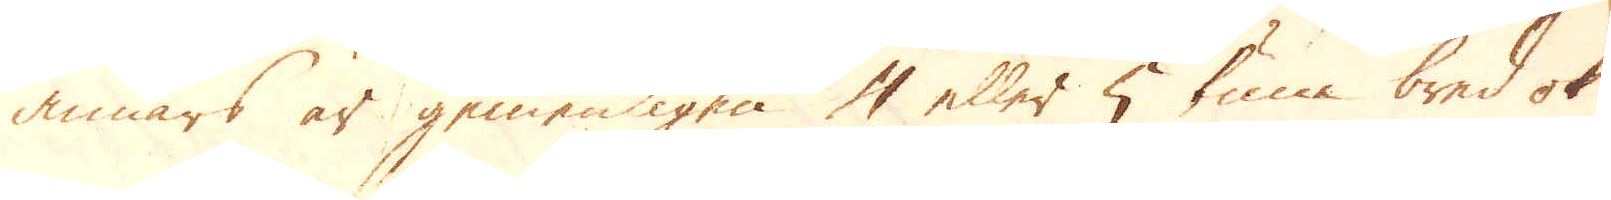annars är gemenligen 4 eller 5 tum bred ok
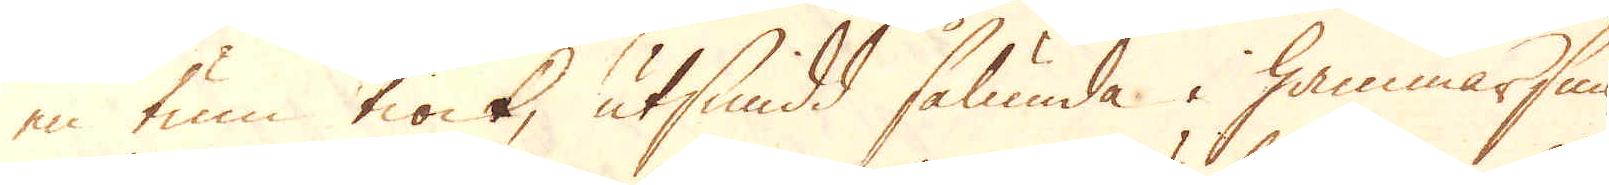en tum tiock, utsmidd sålunda i hammarsmi-
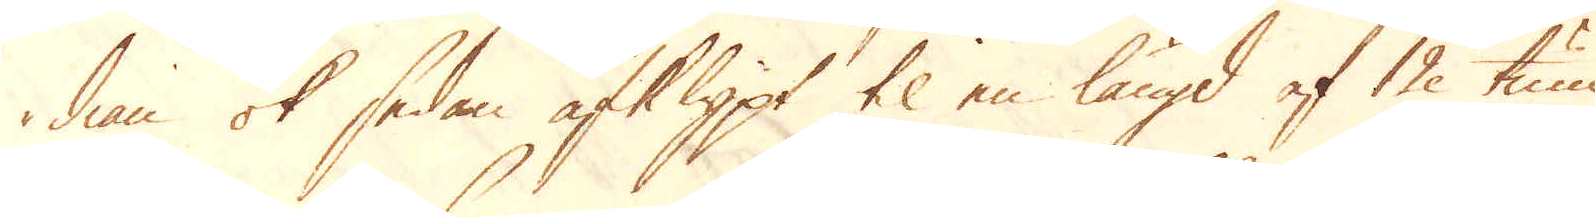dian ok sedan afklippt til en längd af 12 tum
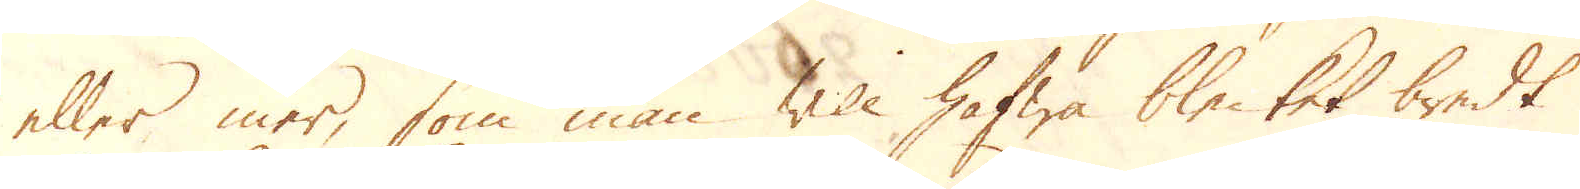eller mer, som man will hafwa blecket bredt
